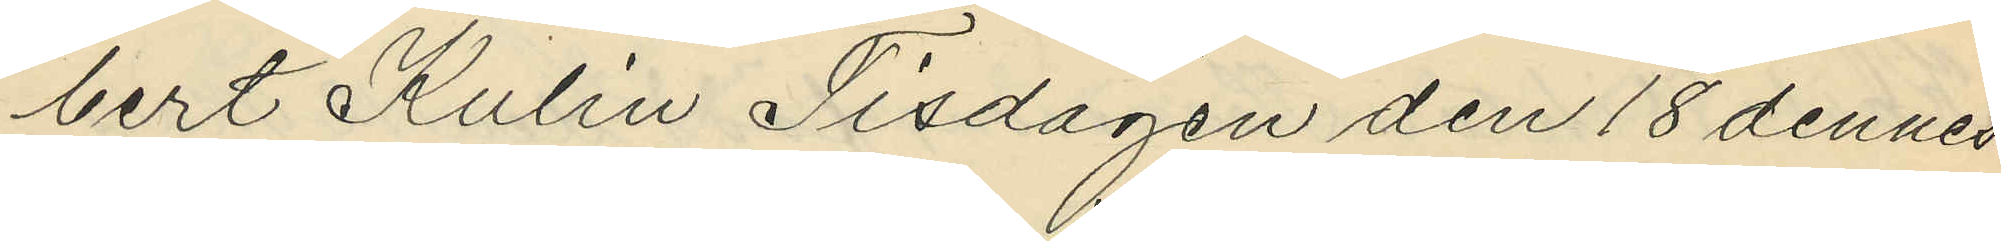bert Kulin Tisdagen den 18 dennes
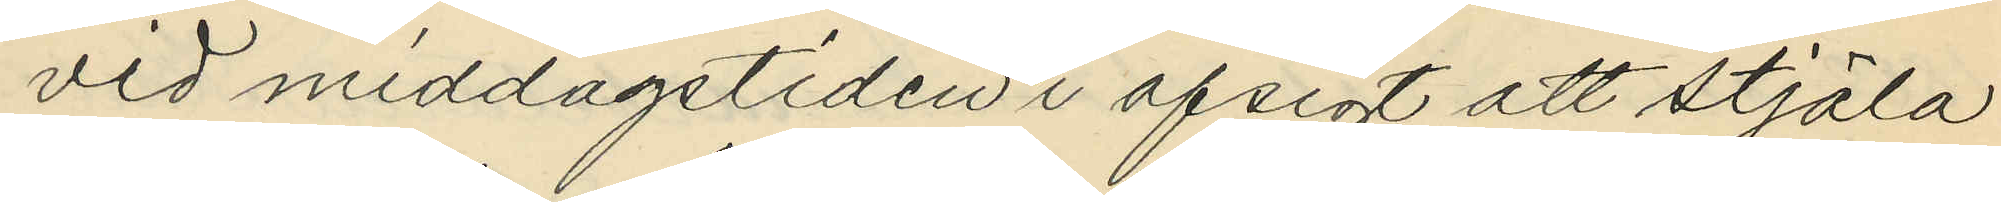vid middagstiden i afsigt att stjäla
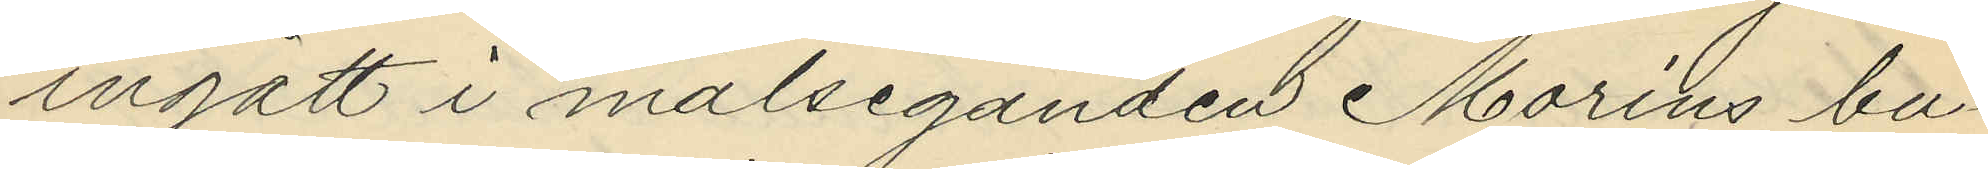ingått i målseganden Morins bu¬
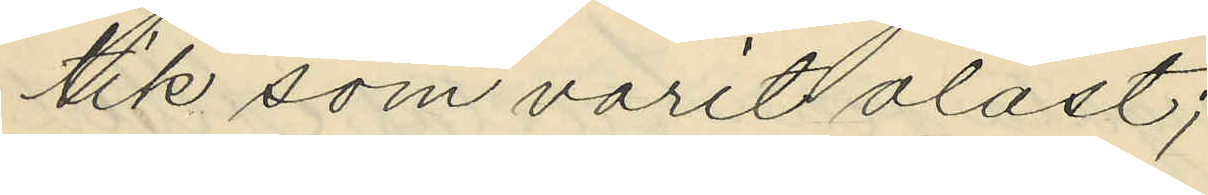tik som varit olåst;
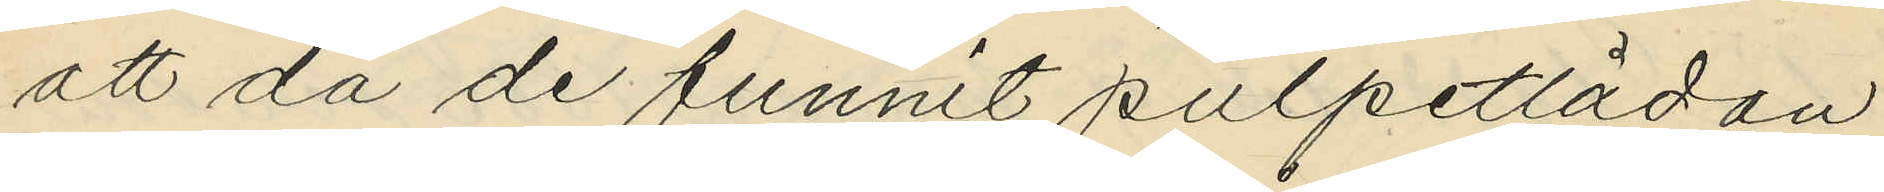att då de funnit pulpetlådan
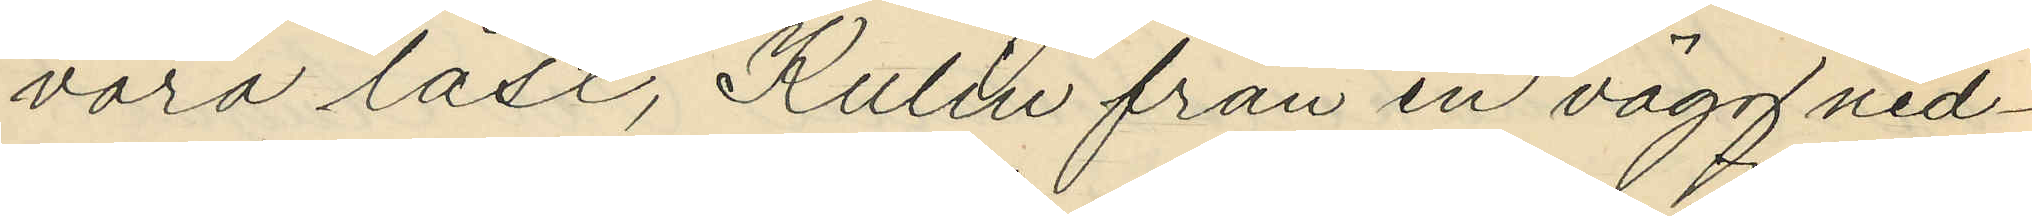vara låst, Kulin från en vägg ned¬
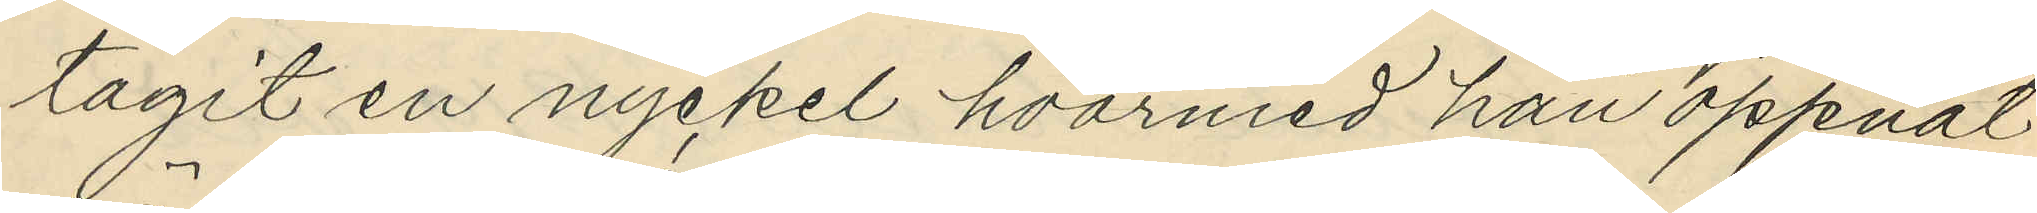tagit en nyckel hvarmed han öppnat
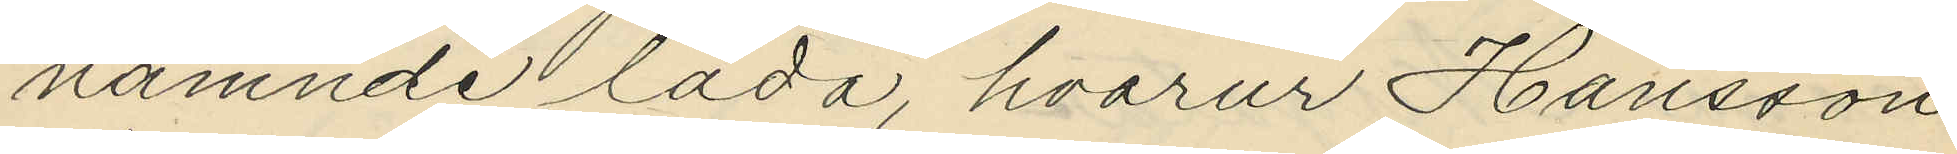nämnde låda, hvarur Hansson
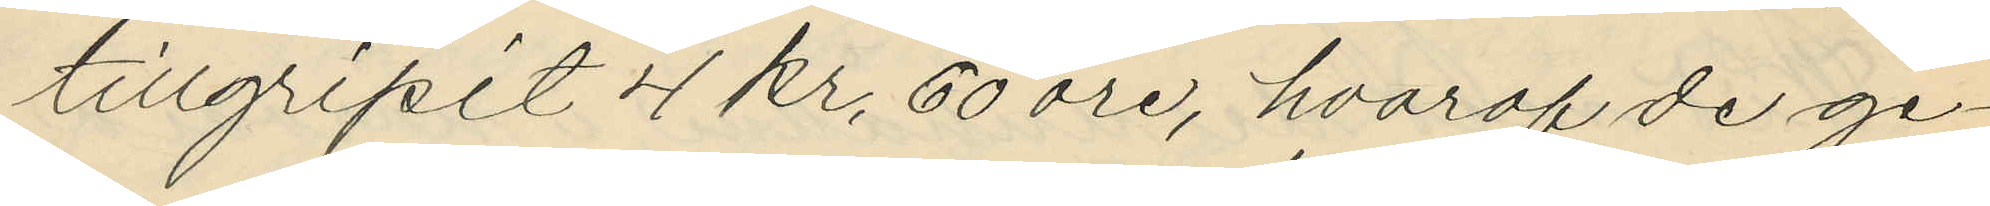tillgripit 4 kr. 60 öre, hvaraf de ge¬
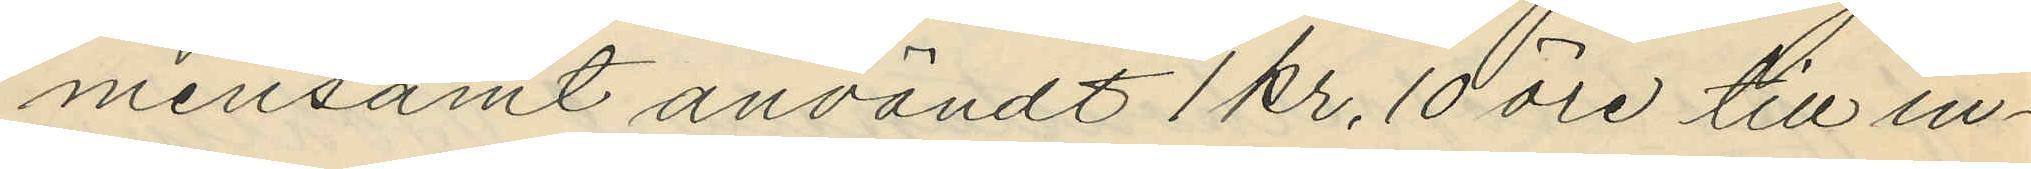mensamt användt 1 kr. 10 öre till in¬
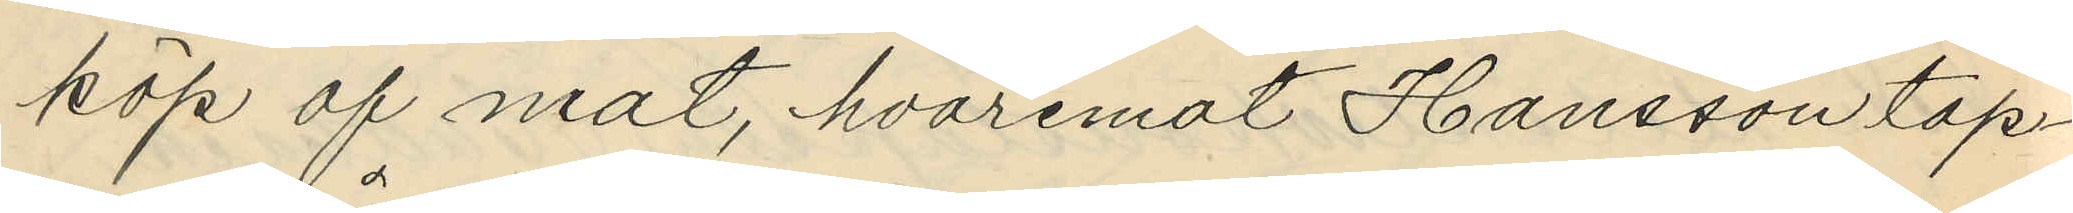köp af mat, hvaremot Hansson tap¬
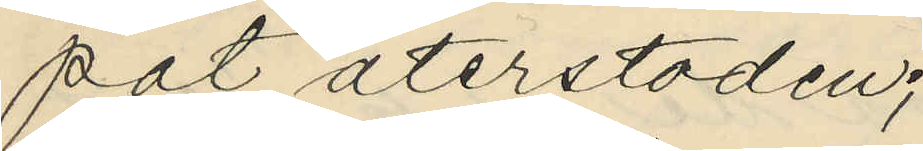pat återstoden;
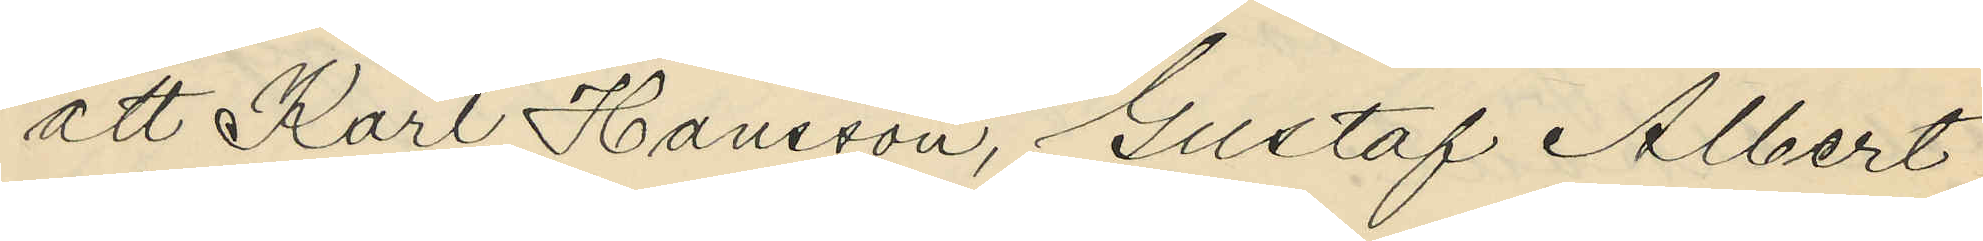att Karl Hansson, Gustaf Albert
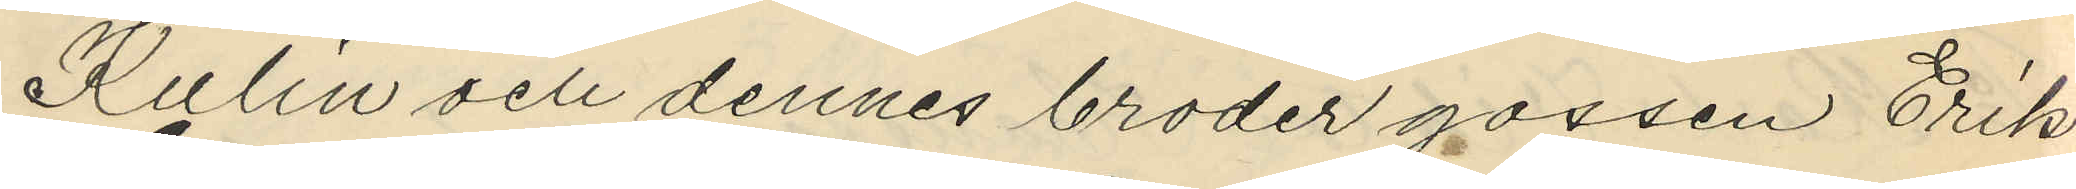Kulin och dennes broder gossen Erik
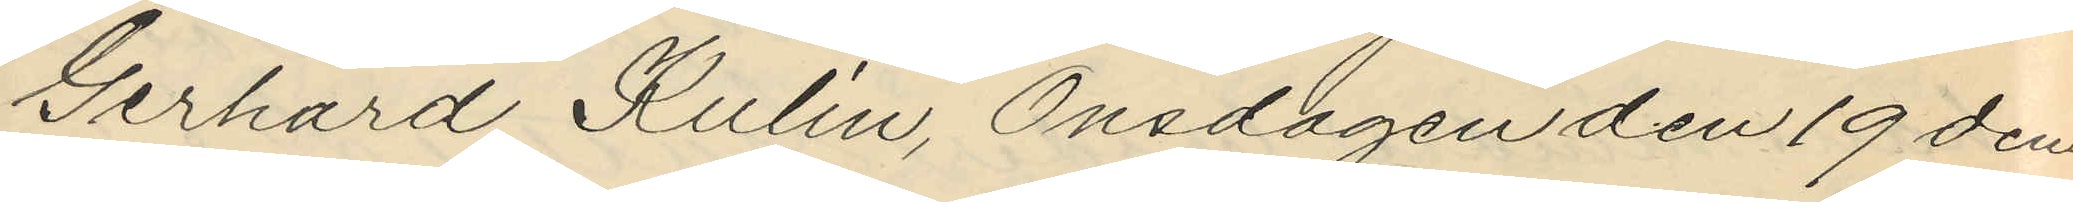Gerhard Kulin, Onsdagen den 19 den¬
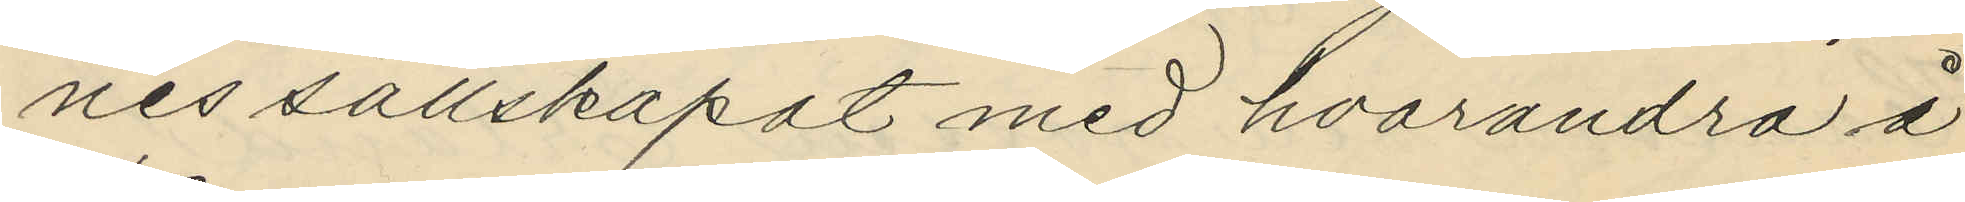nes sällskapat med hvarandra å
